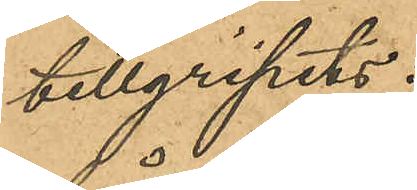tillgripits:
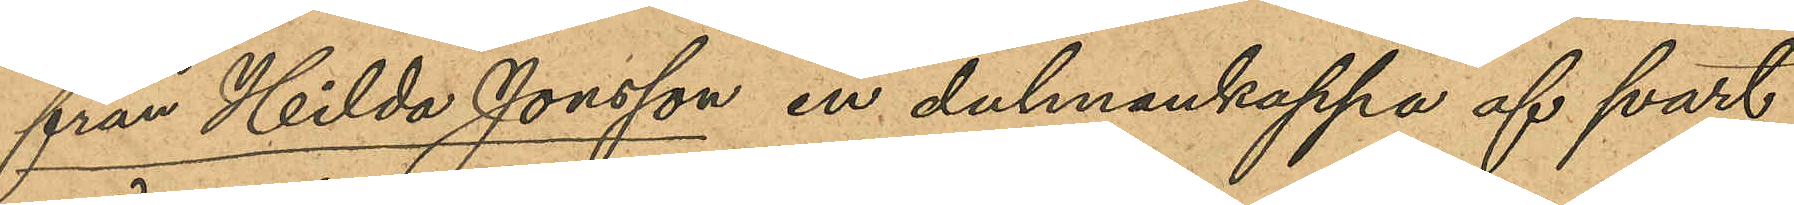från Hilda Jonsson en dalmankappa af svart
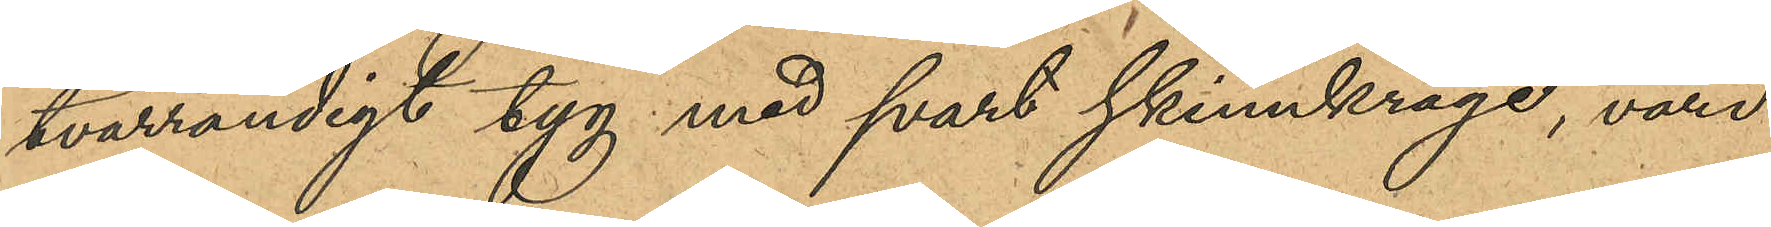tvärrandigt tyg med svart skinnkrage, värd
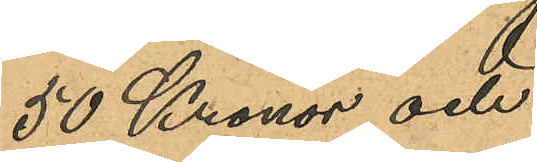50 Kronor, och
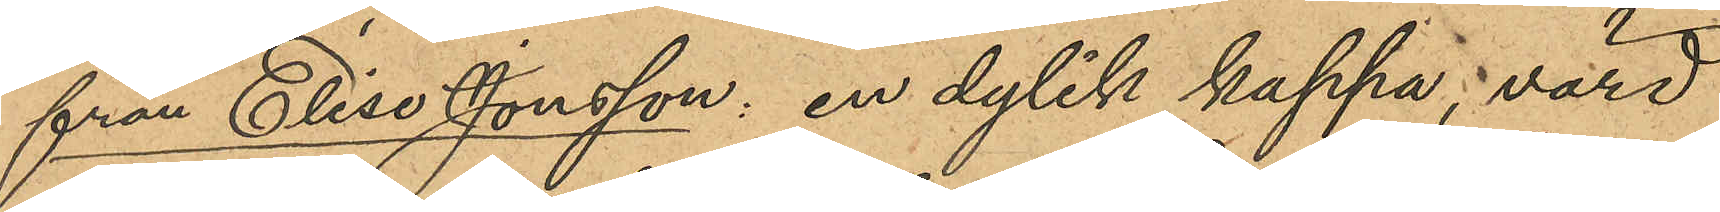från Elise Jonsson: en dylik kappa, värd
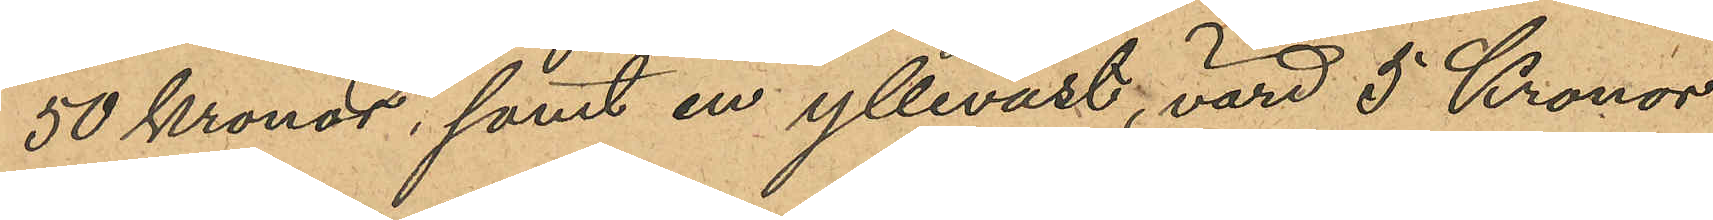50 pronor, samt en ylleväst, vard 5 Kronor.
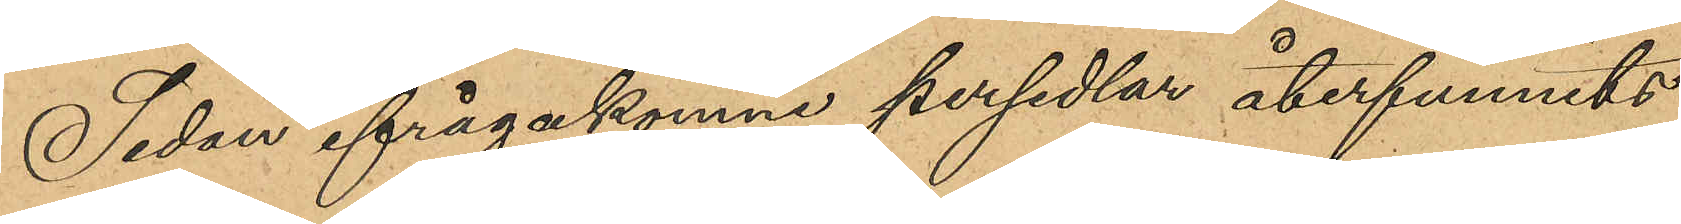Sedan ifrågakomne persedlar återfunnits
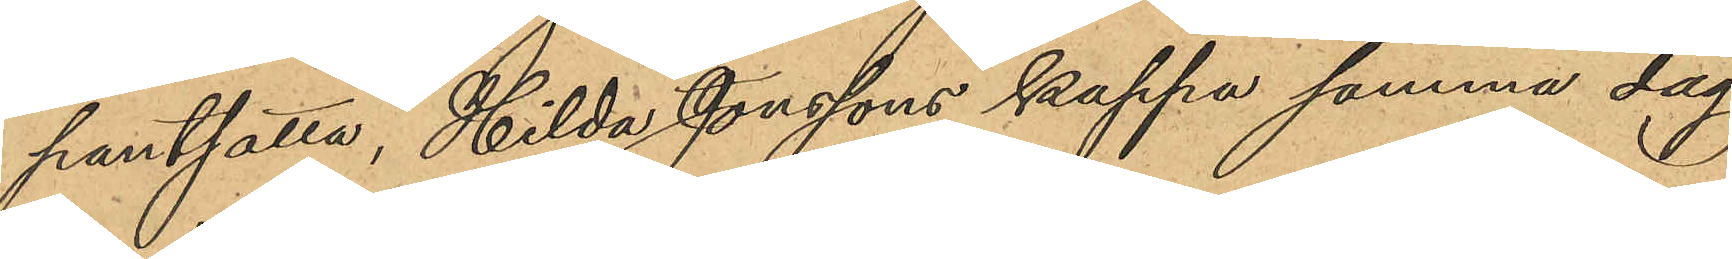pantsatta, Hilda Jonssons kappa samma dag
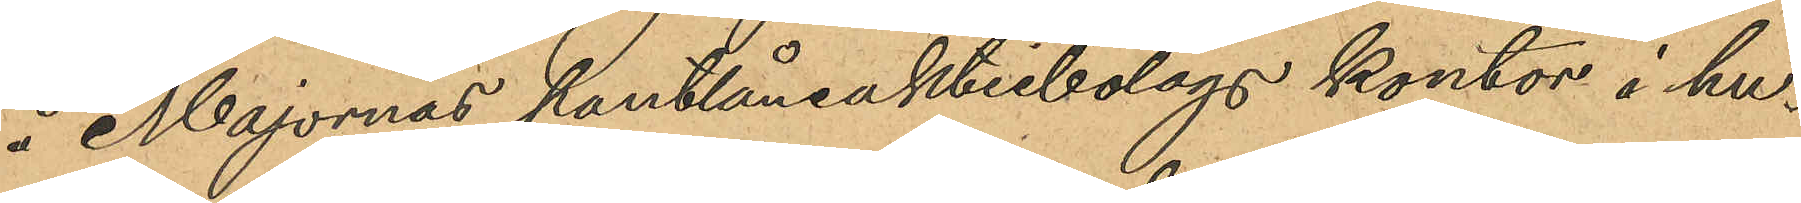å Majornas pantlåneaktiebolags kontor i hu¬
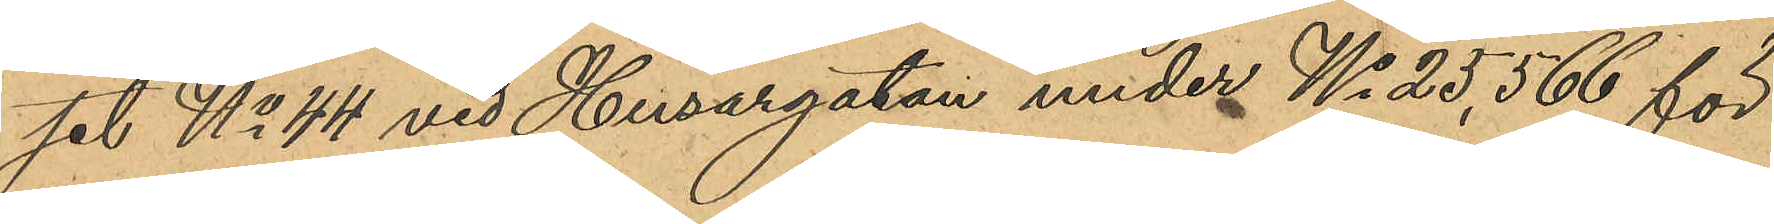set No 44 vid Husargatan under No 25,566 för
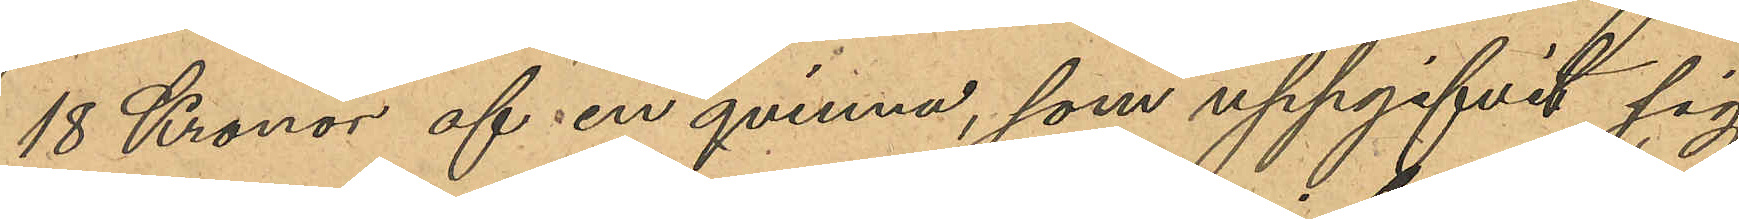18 Kronor af en qvinna, som uppgifvit sig
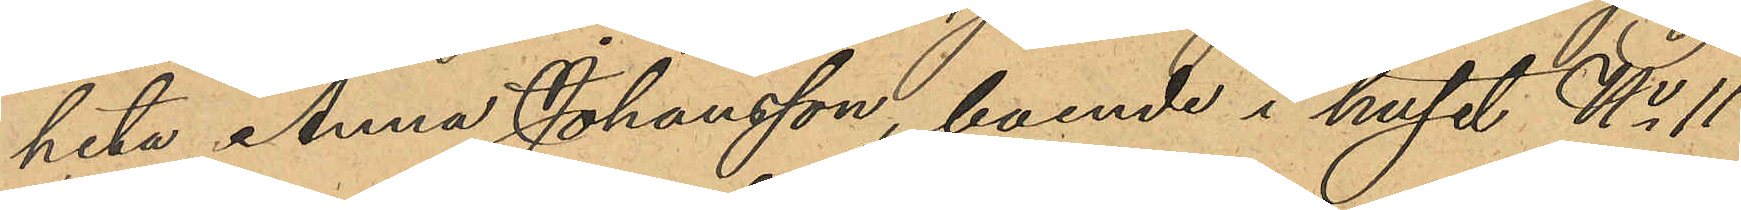heta Anna Johansson boende i huset No 11
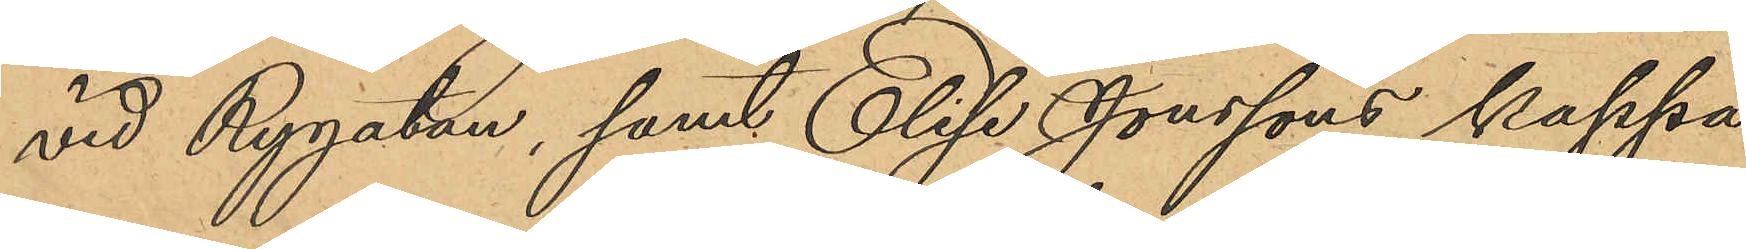vid Rygatan, samt Elise Jonssons kappa
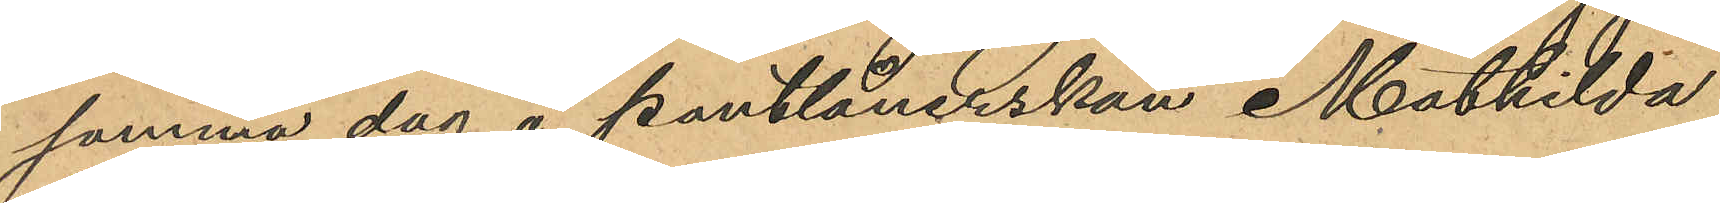samma dag å pantlånerskan Mathilda
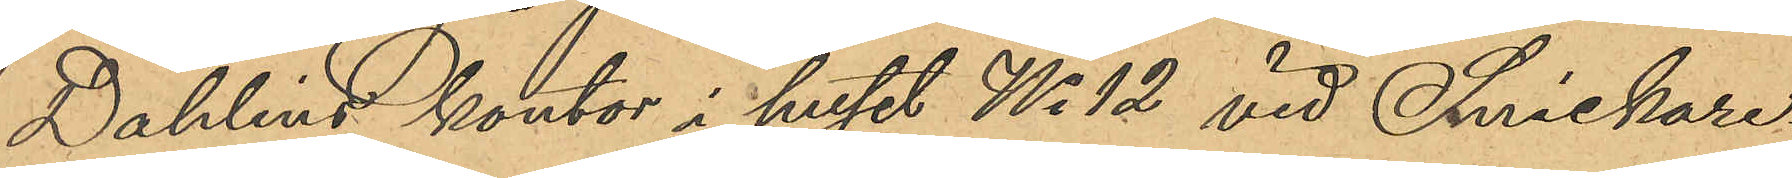Dahlins kontor i huset No 12 vid Snickare¬
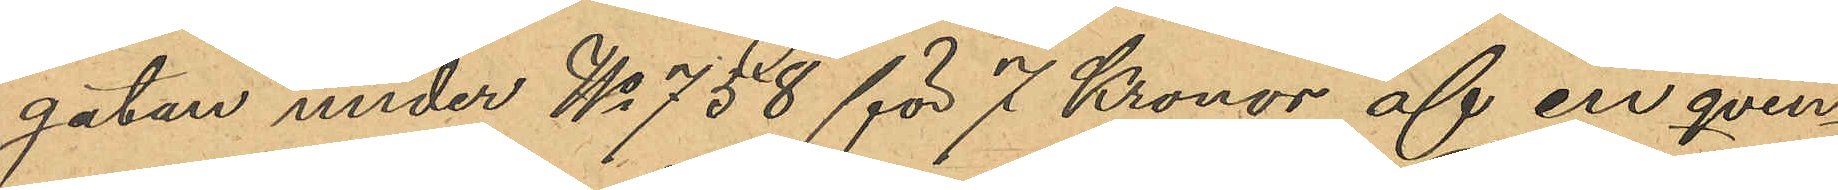gatan under No 758 för 7 Kronor aff en qvin¬
